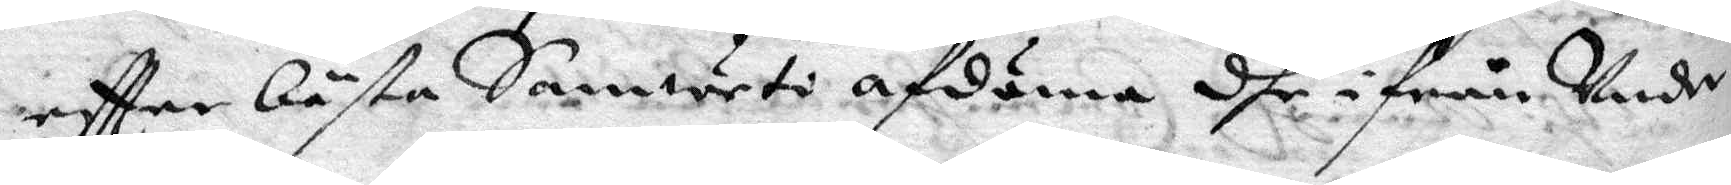eftter bästa Samweti afdöma dhe ifrån Under¬
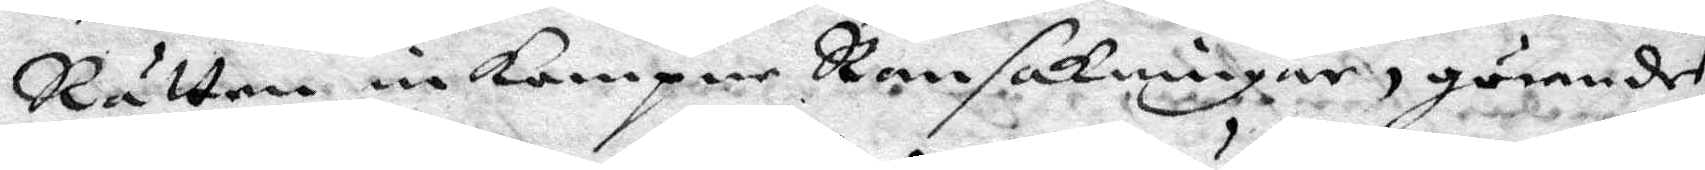Rätten inkompne Ransakningar, görandes
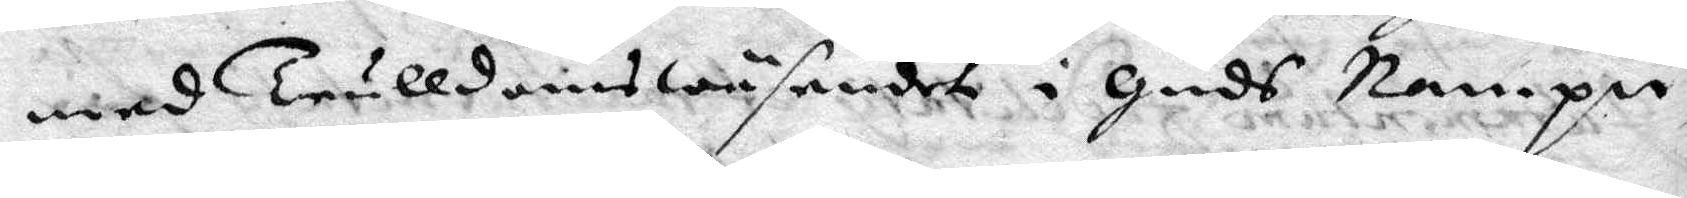med Trulldomswäsendet i guds Nampn,
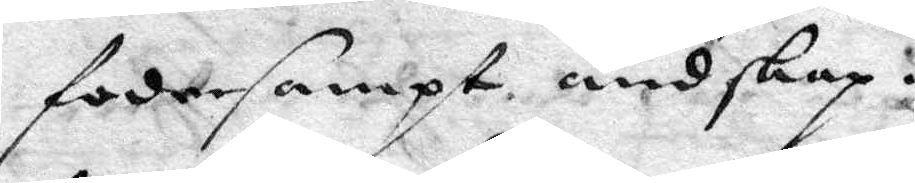fodersampt andskap:
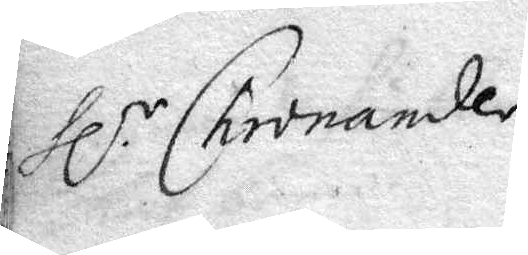Hlr Chronander
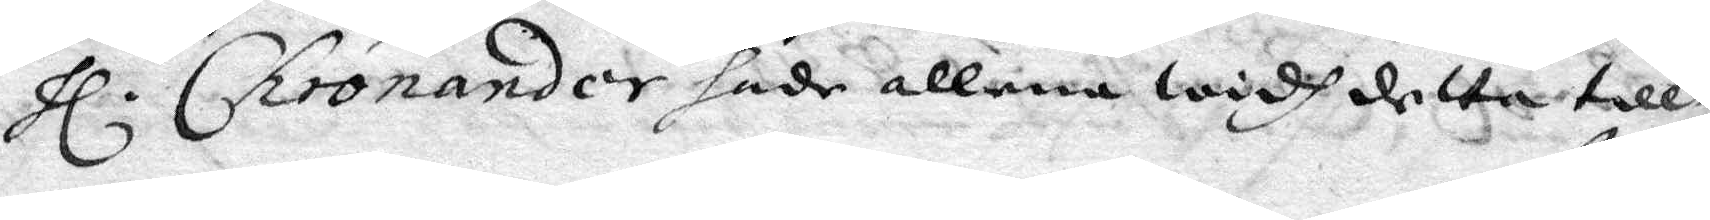Hl. Chronander hade allena widh detta till¬
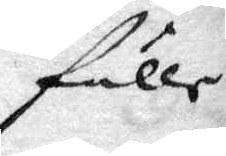fälle
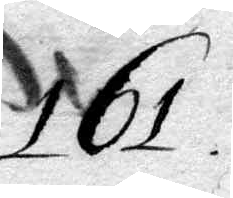161.
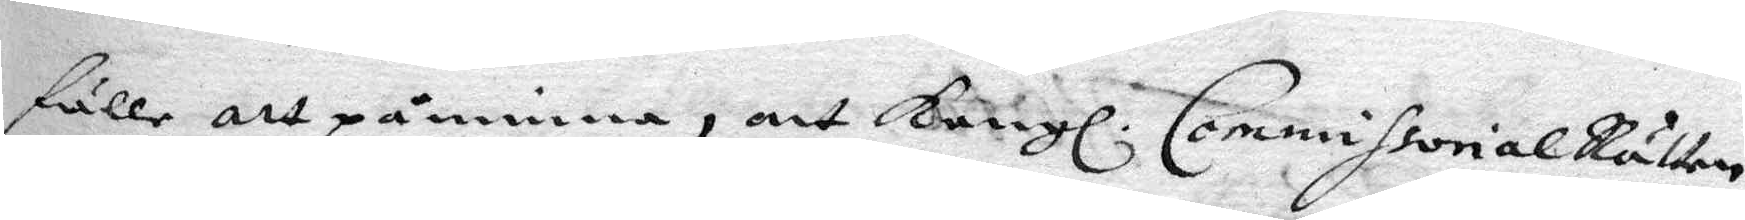fälle att påminna, att Kongl. CommissorialRätten
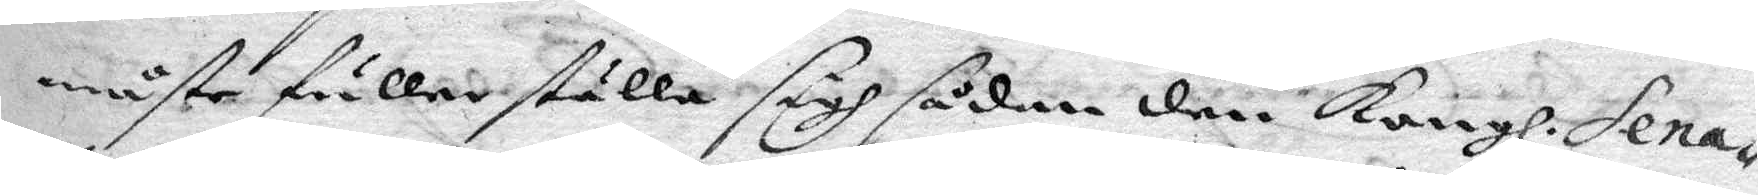måste fuller ställa sigh sådan den Kongl. Sena¬
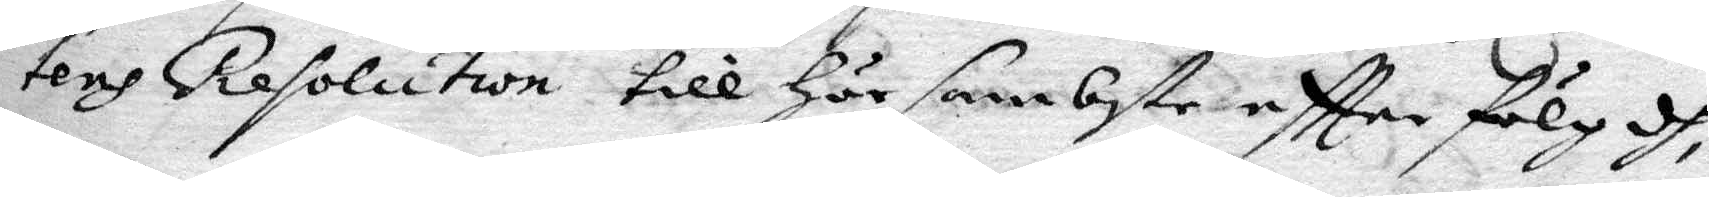tens resolution till här sambste eftter fölgdh
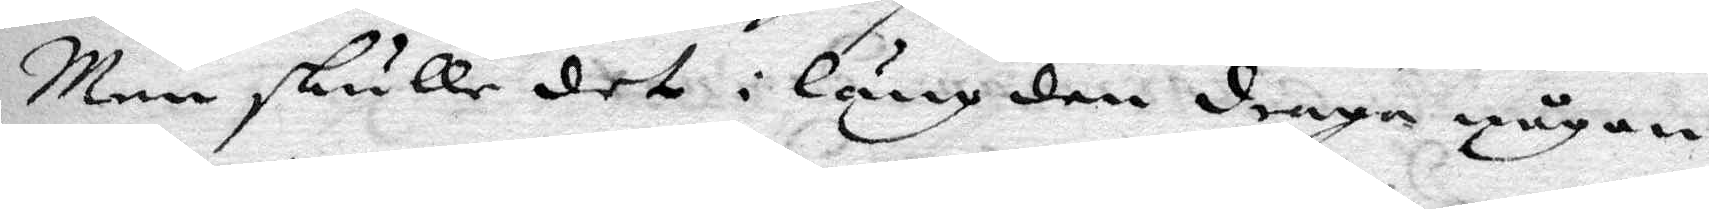Men skulle det i längde draga någon
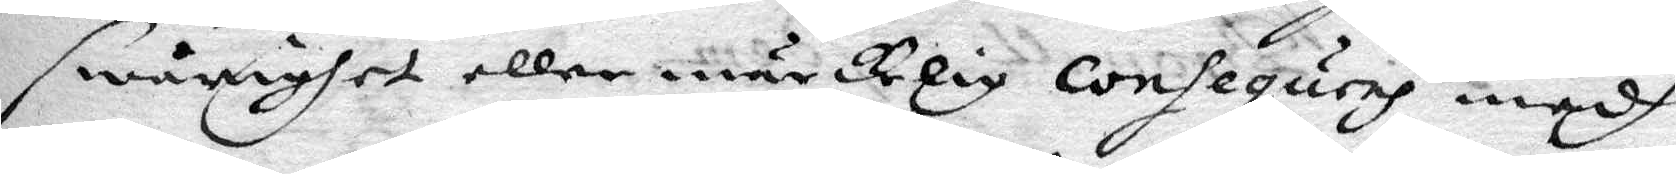swårigher eller märkelig consequres medh
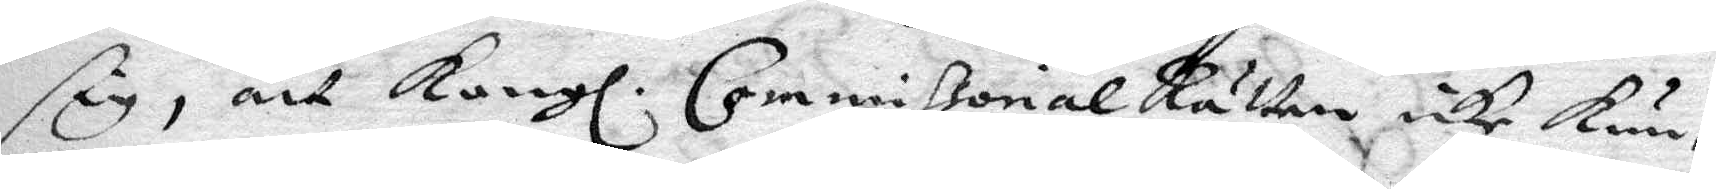sig, att Kongl. Commissorial Rätten icke kun¬
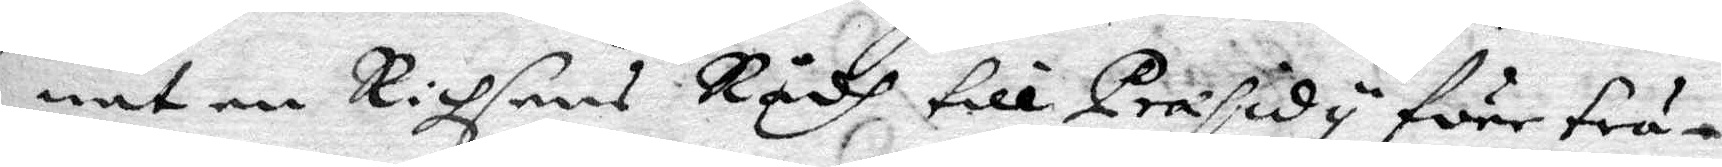nat en Richsens Rådh till Præsidy före trä¬
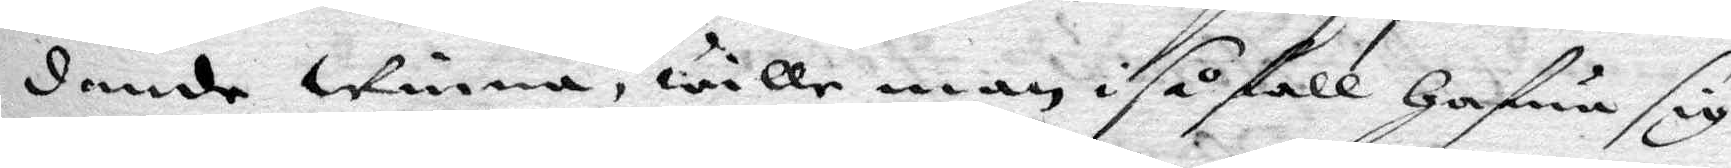dande winna, wille man i såfall hafwa sig
